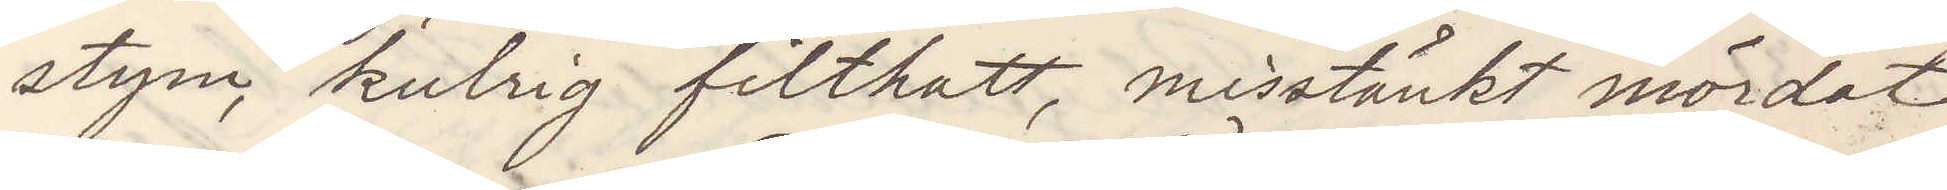stym, kulrig filthatt, misstänkt mördat
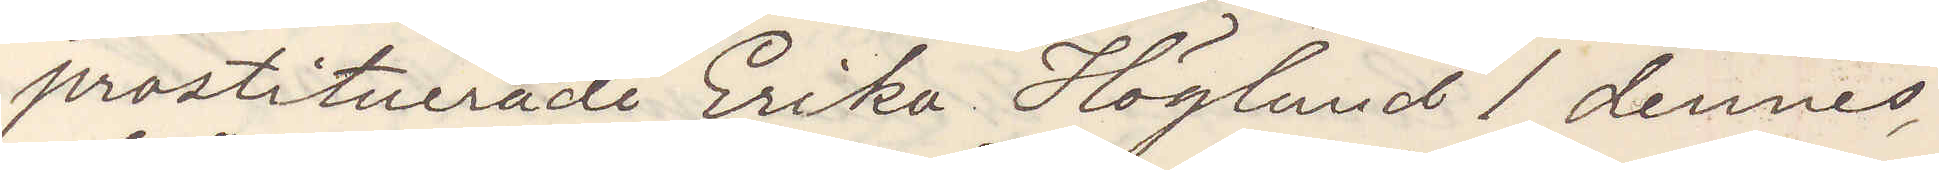prostituerade Erika Höglund 1 dennes,
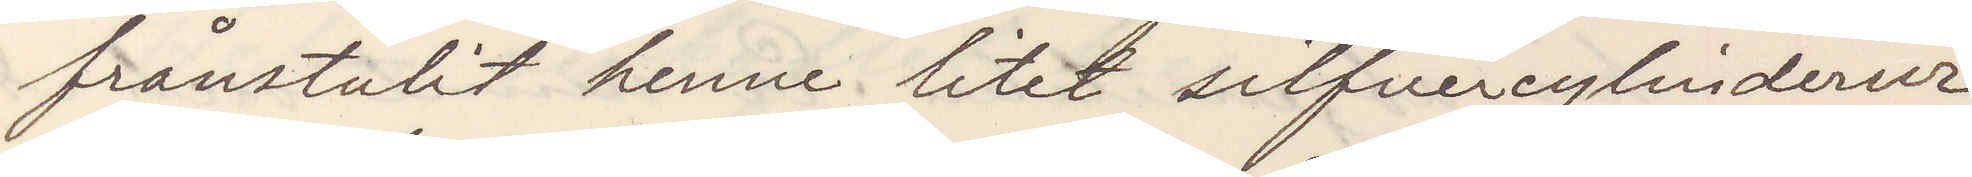frånstulit henne litet silfvercylinderur
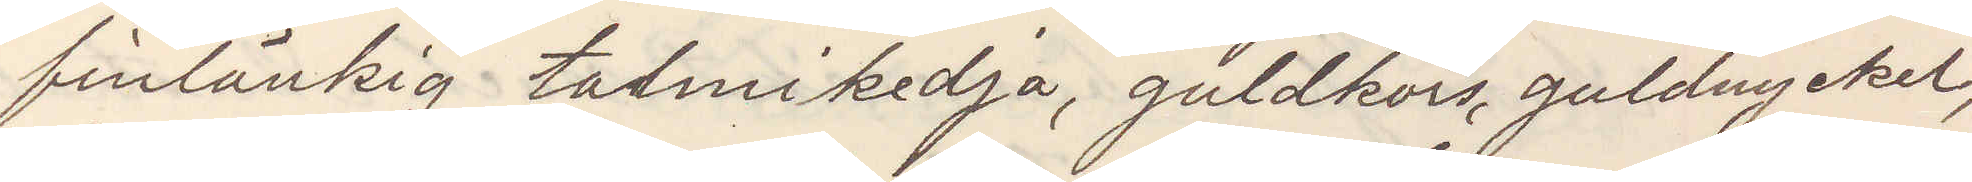finlänkig talmikedja, guldkors, guldnyckel
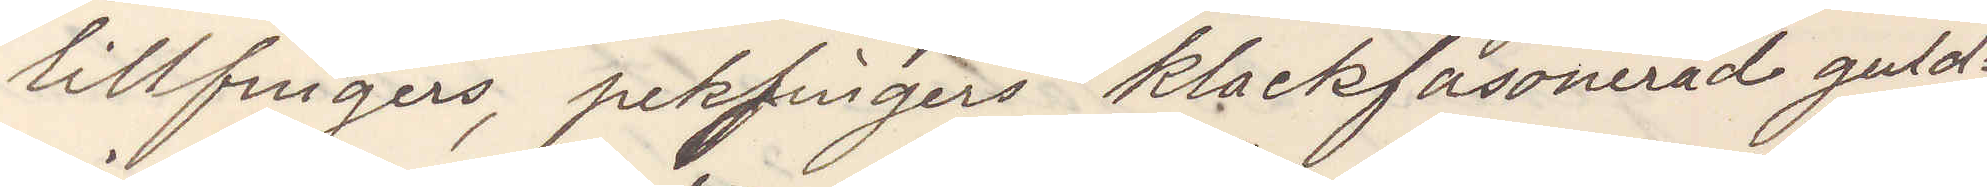lillfingers, pekfingers klackfasonerad guld¬
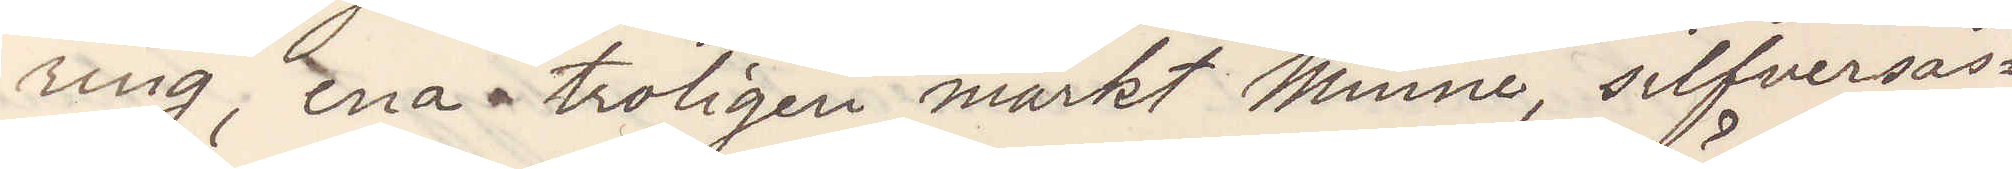ring, ena troligen märkt "Minne", silfversås¬
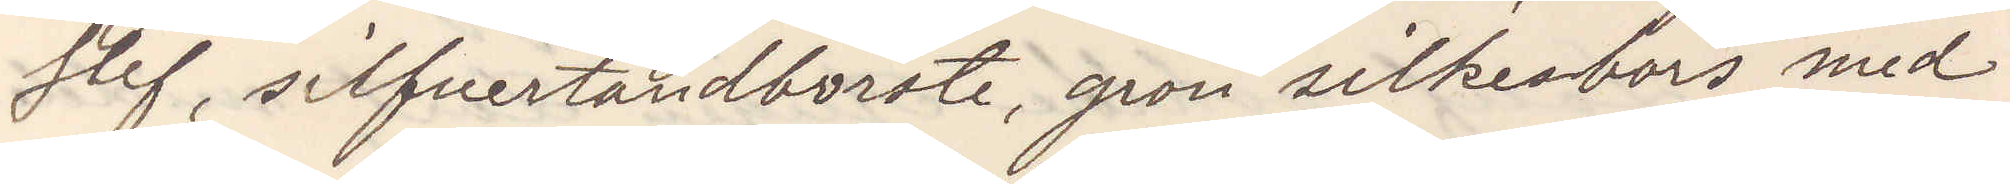slef, silfvertandborste, grön silkesbörs med
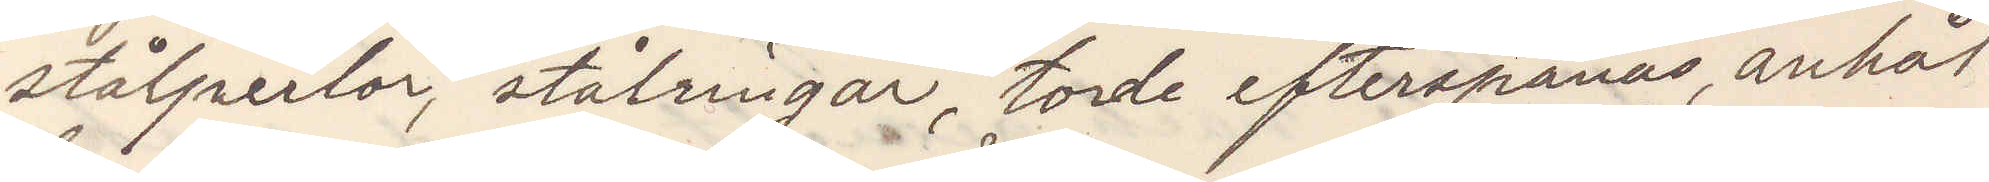stålperlor, stålringar, torde efterspanas, anhål¬
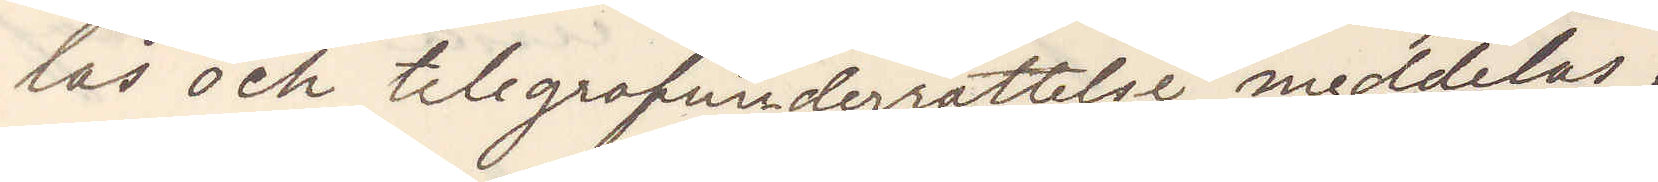las och telegrafunderrättelser meddelas.
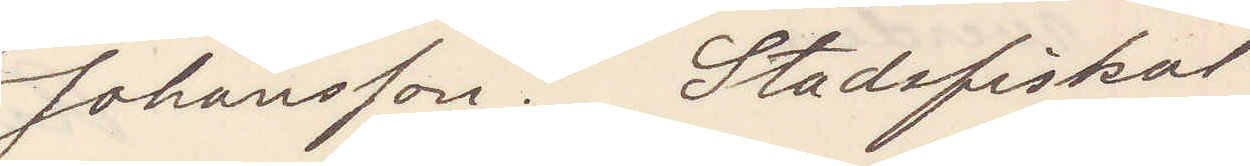Johansson. Stadsfiskal
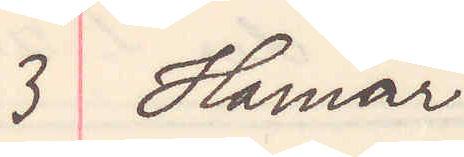3 Hamar
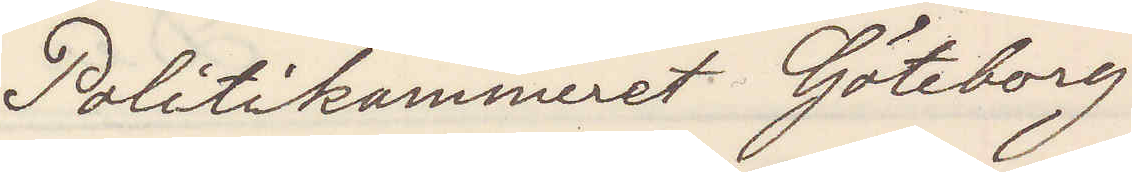Politikammeret Göteborg
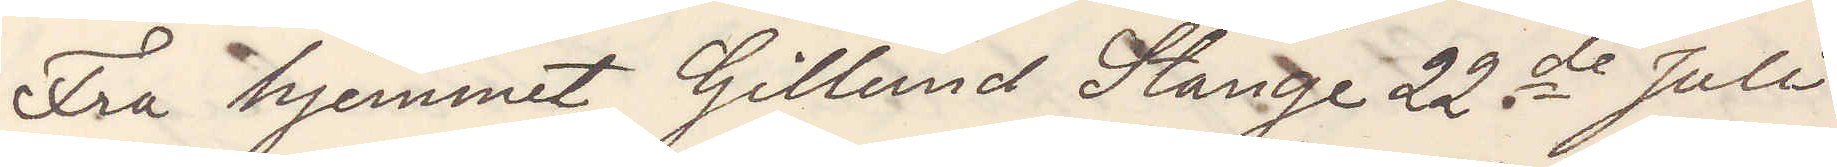Fra hjemmet Gillund Stange 22de Juli
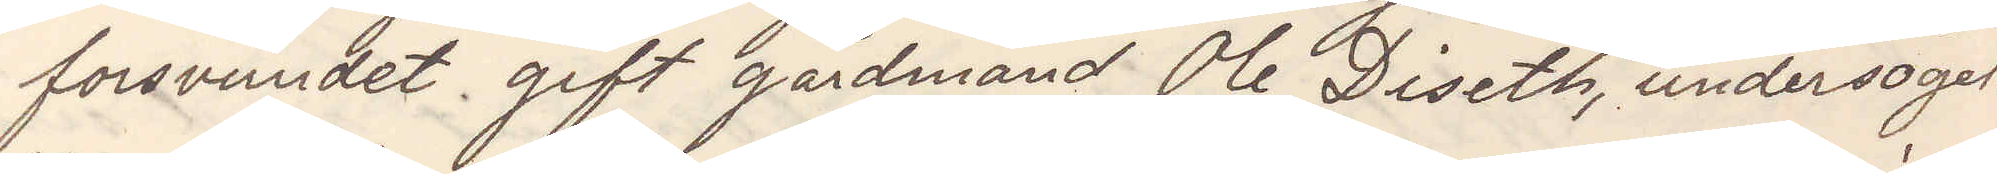forsvundet gift gårdmand Ole Diseth, undersögel¬
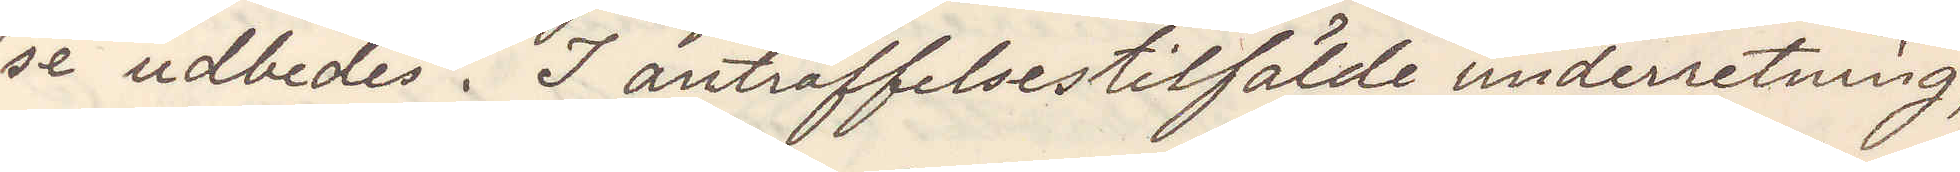se udbedes. I anträffelsestilfälde underretning,
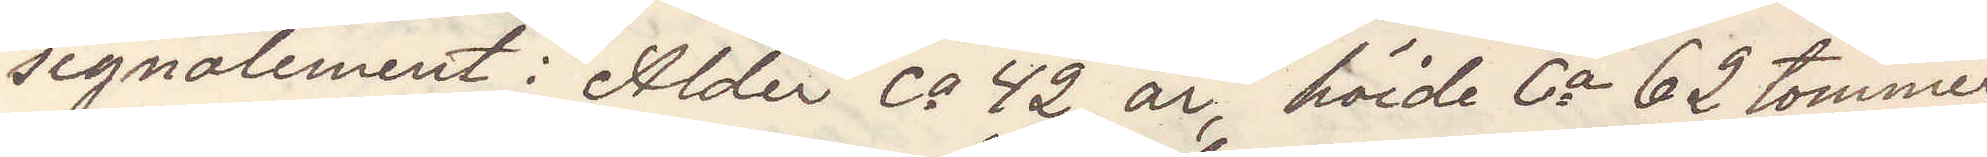signalement: Alder ca 42 år, höide ca 62 tommer,
